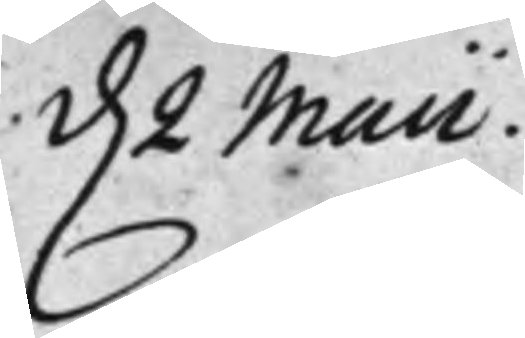d. 2 Maii.
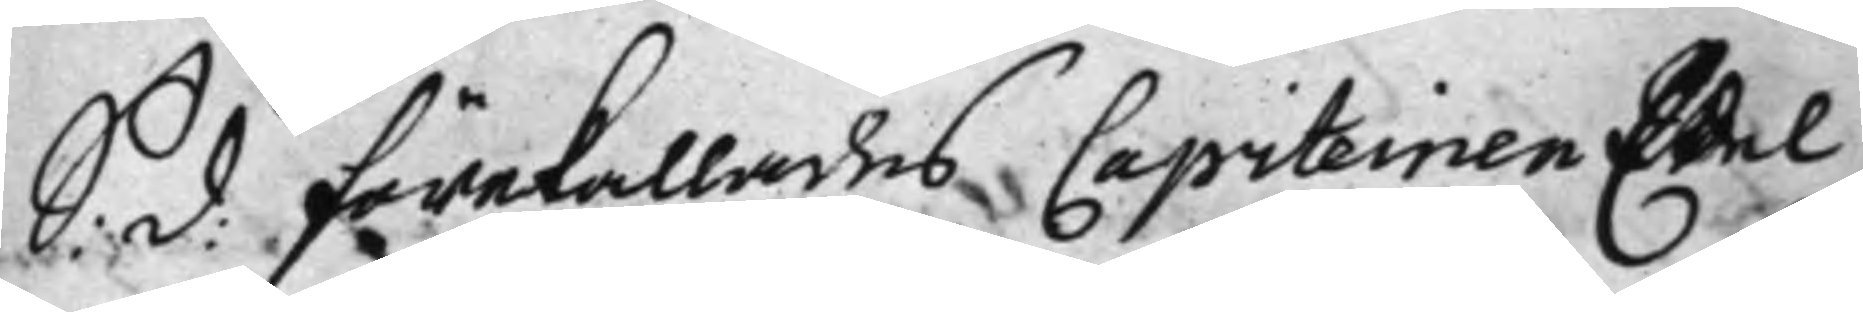S: d: förekallades Capiteinen Edel
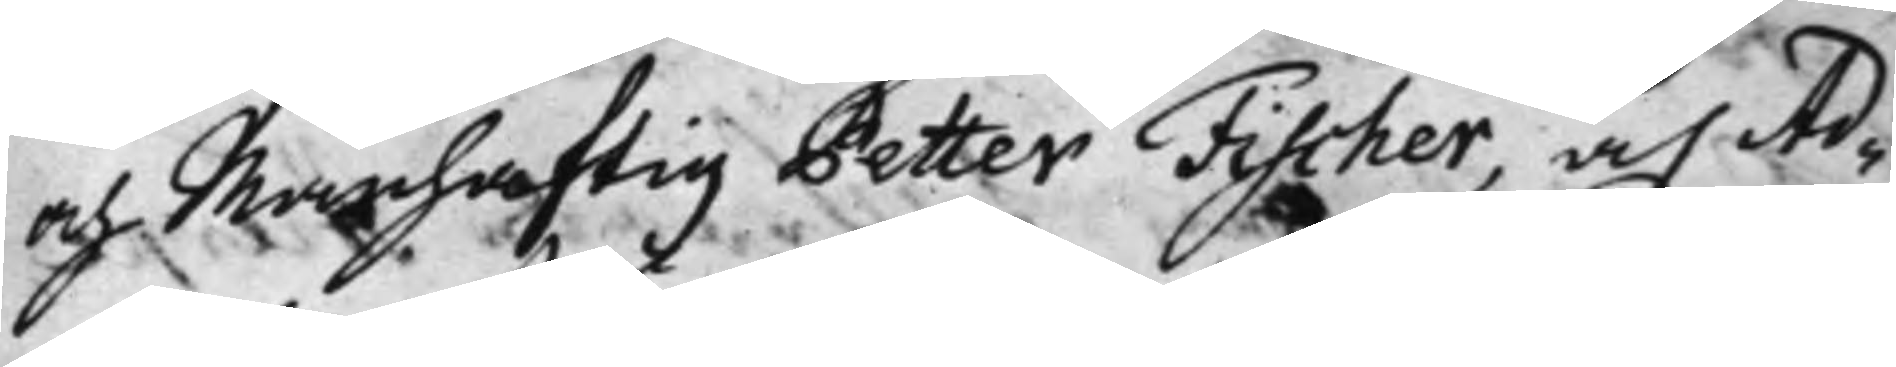och Manhaftig Petter Fischer, och Ad¬
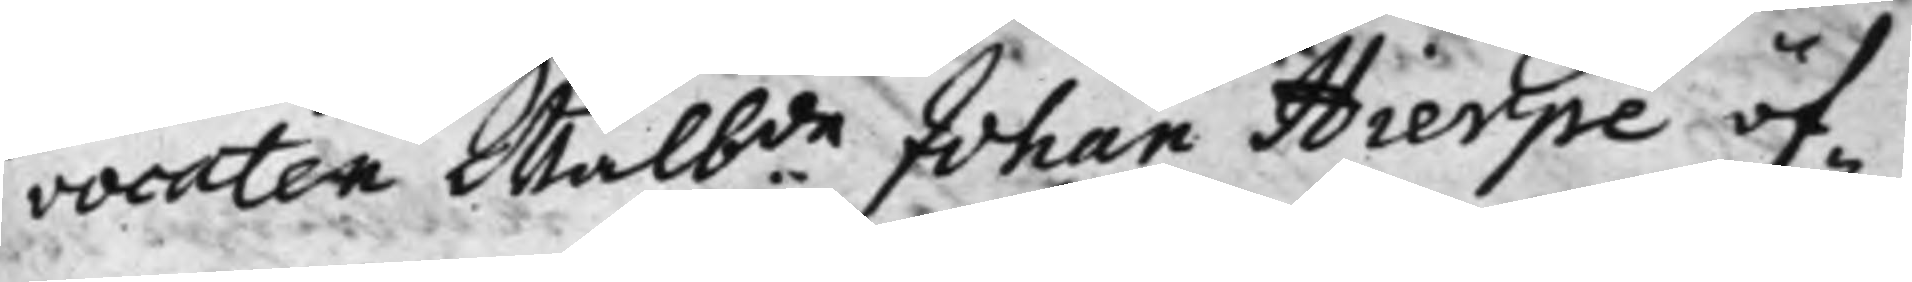vocaten Wälb.de Johan Hierpe öf¬
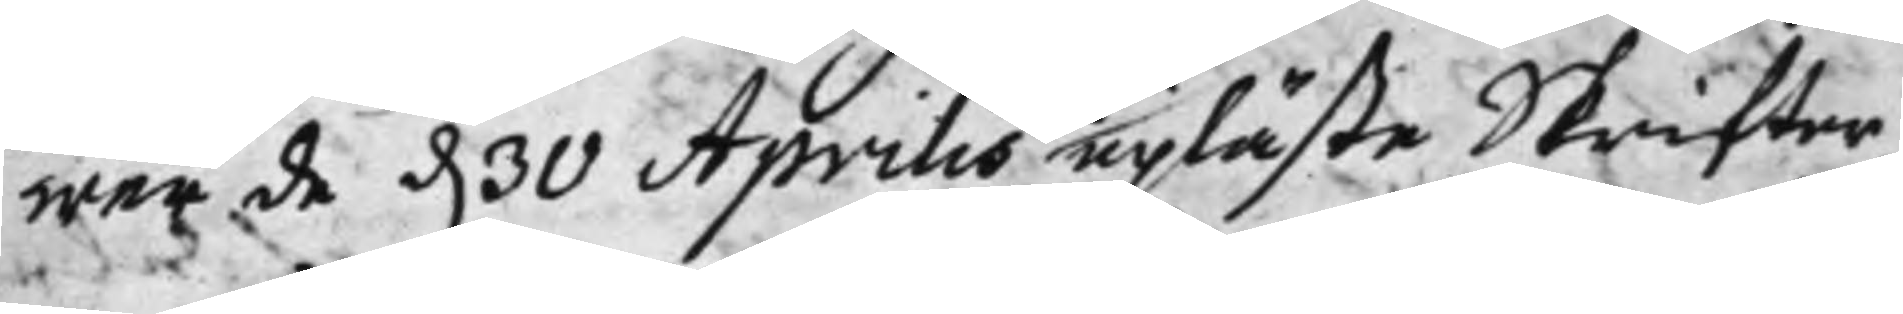wer de d. 30 Aprilis upläste Skrifter,
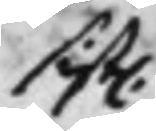sist.
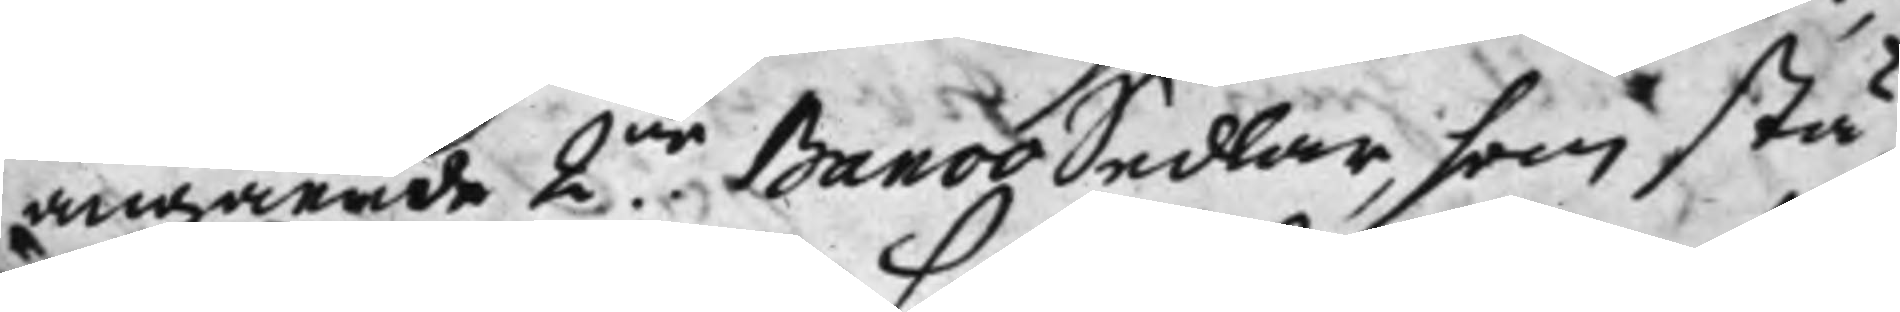angående 2.ne BancoSedlar, som stå
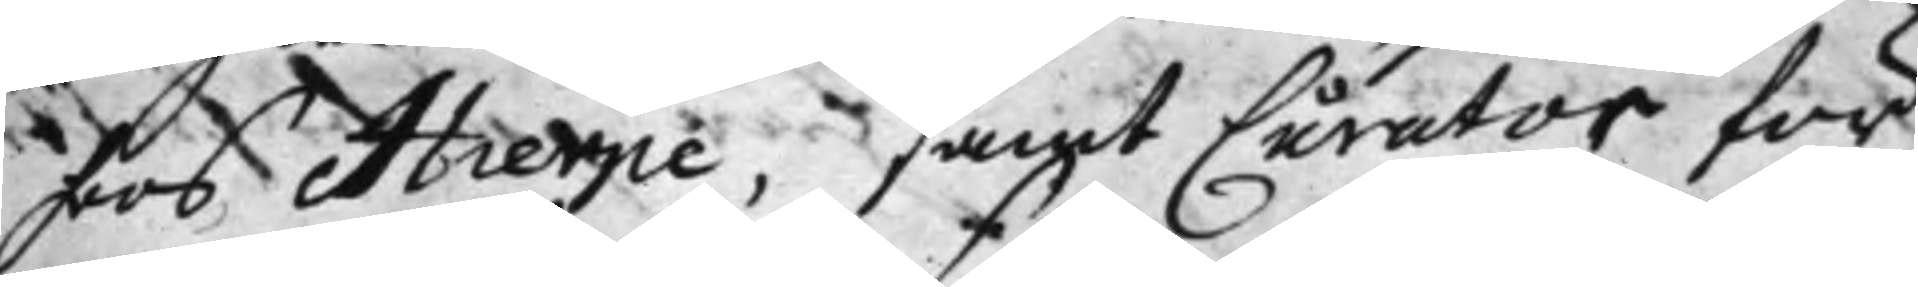hoos Hierpe, samt Curator för
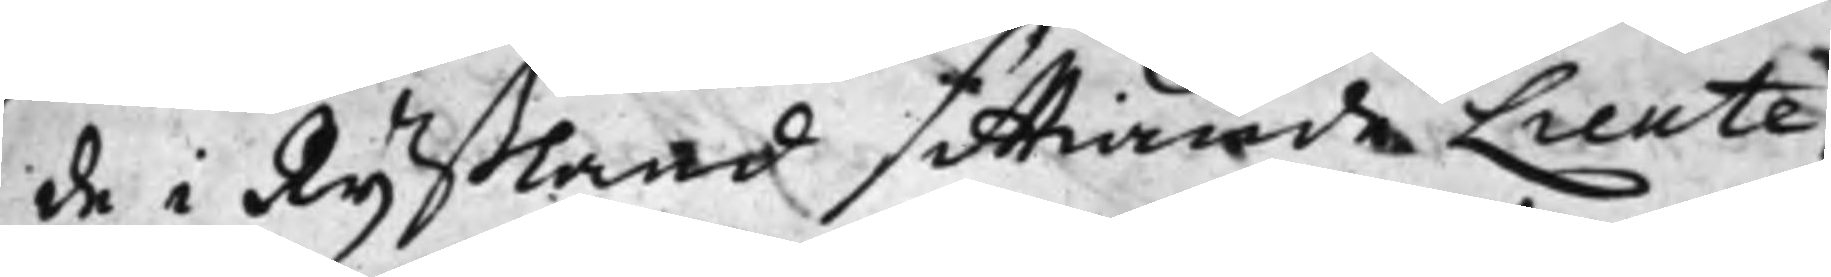de i Ryßland sittiande Lieute¬
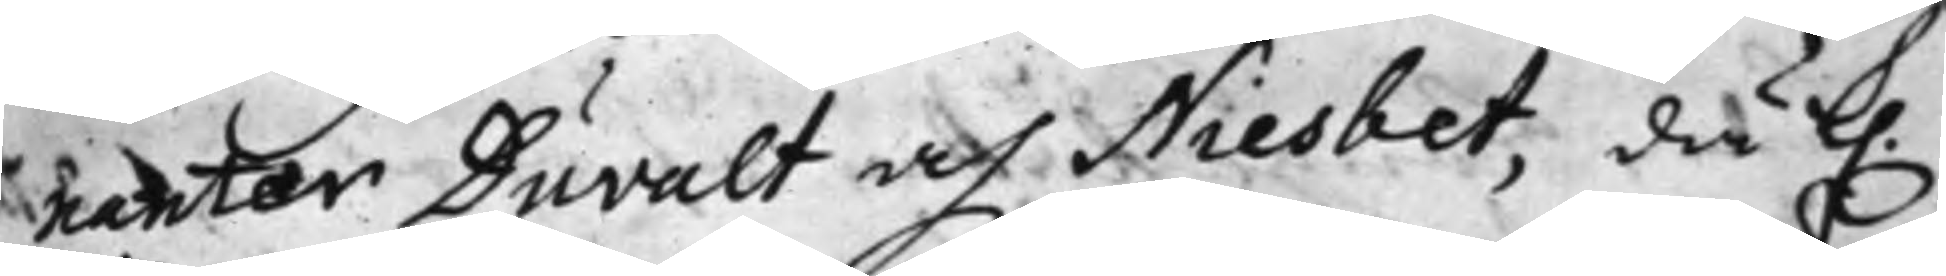nanter Duvalt och Niesbet, då k.
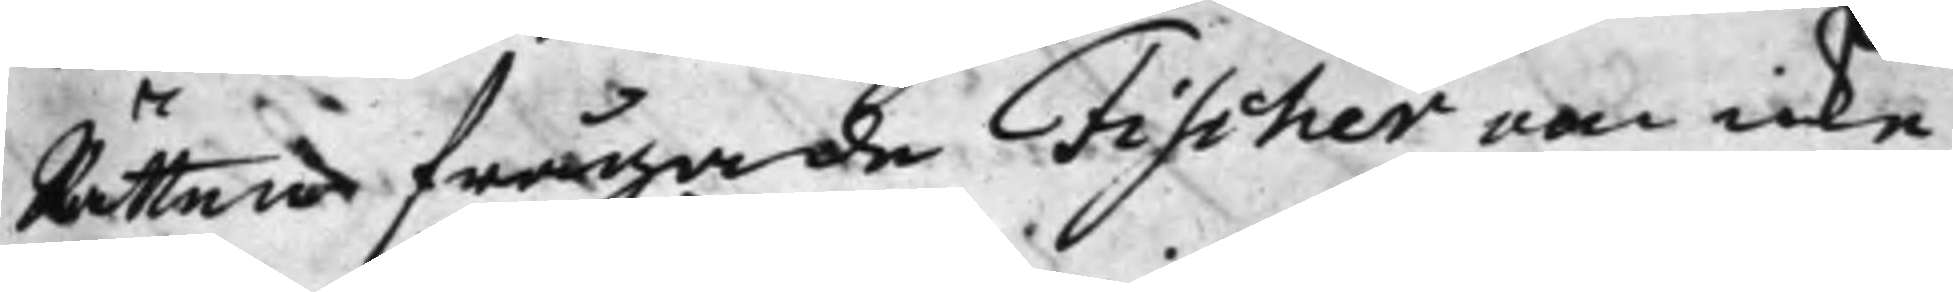Rätten frågade Fischer om icke
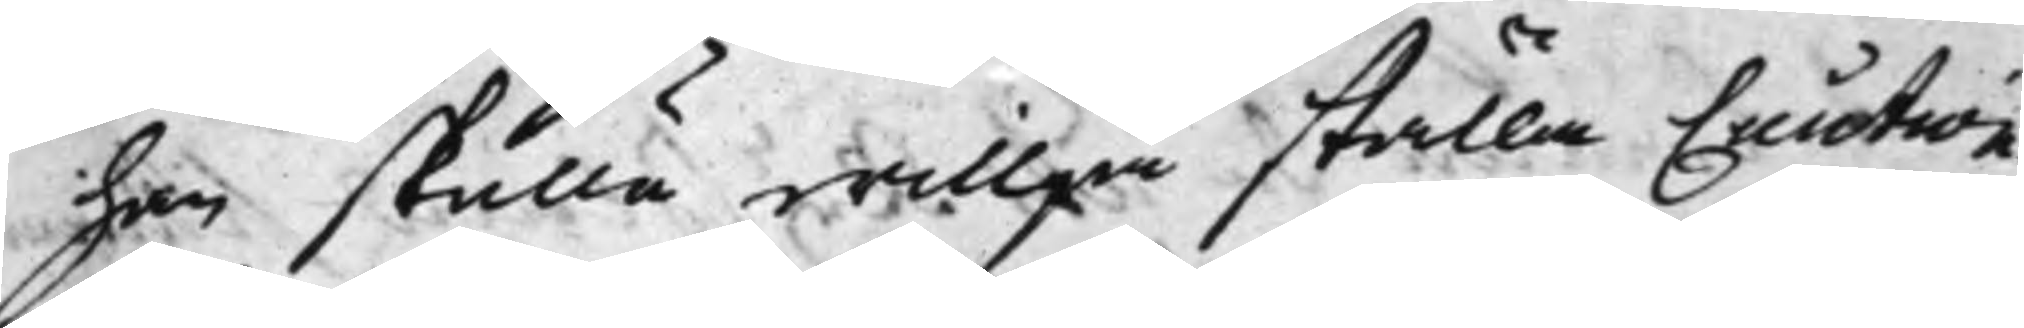han skulle willja ställa Caution
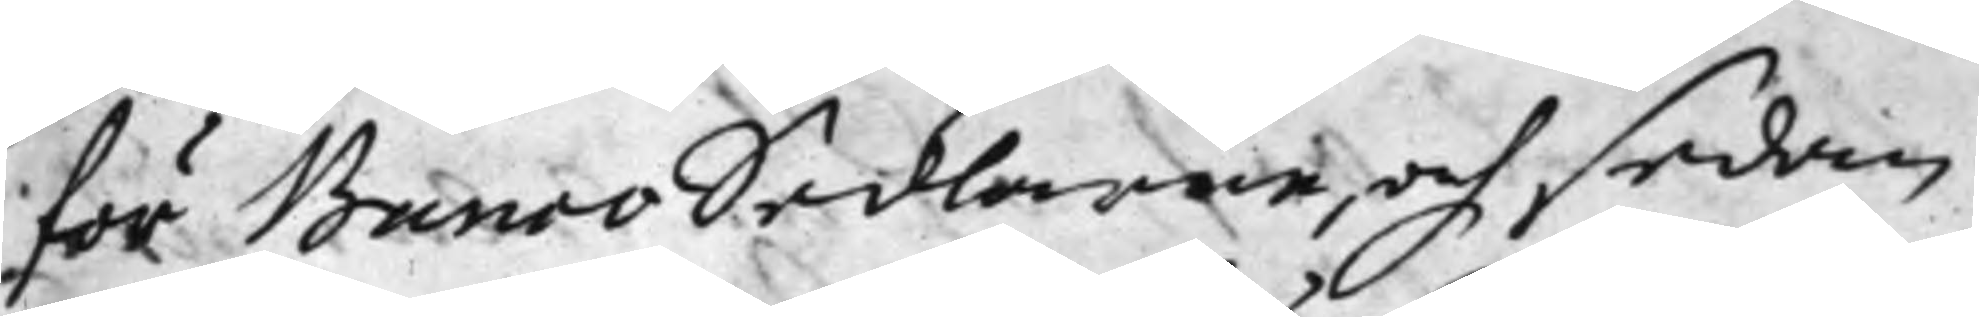för BancoSedlarne, och sedan
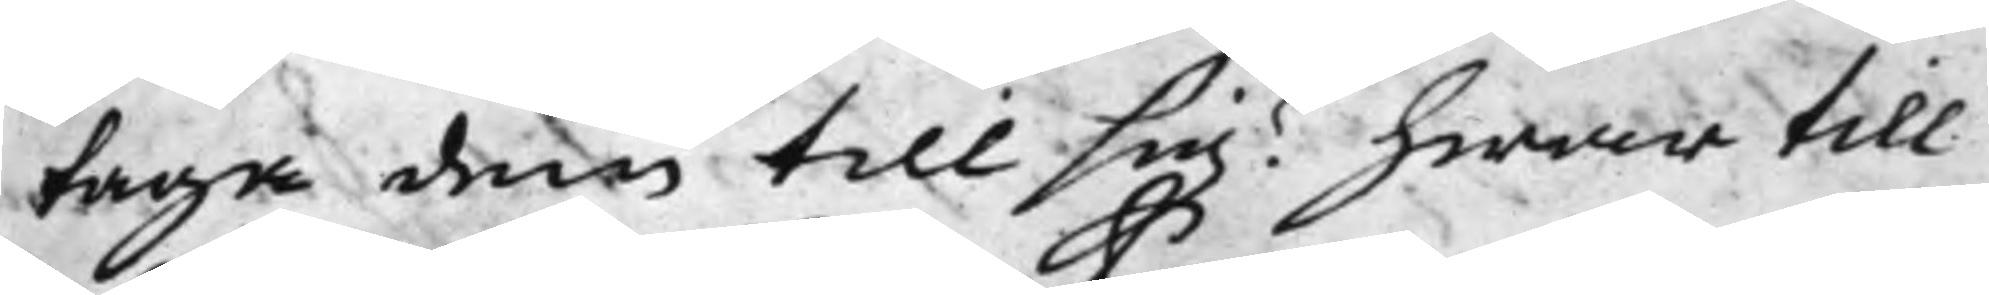taga dem till sig? hwar till
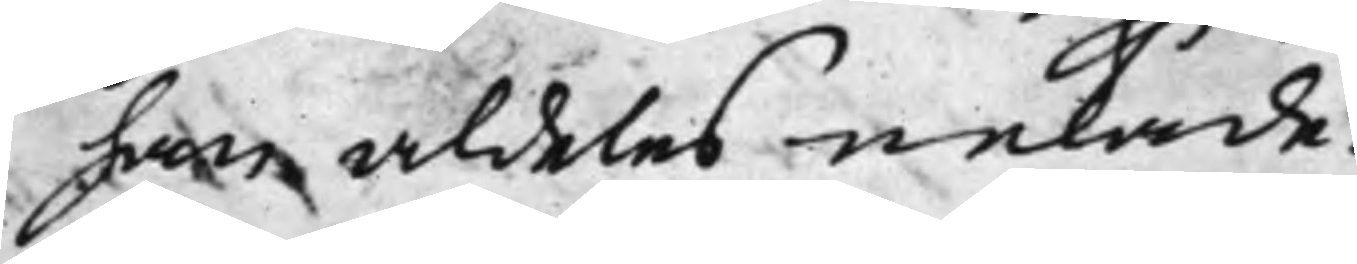han aldeles nekade.
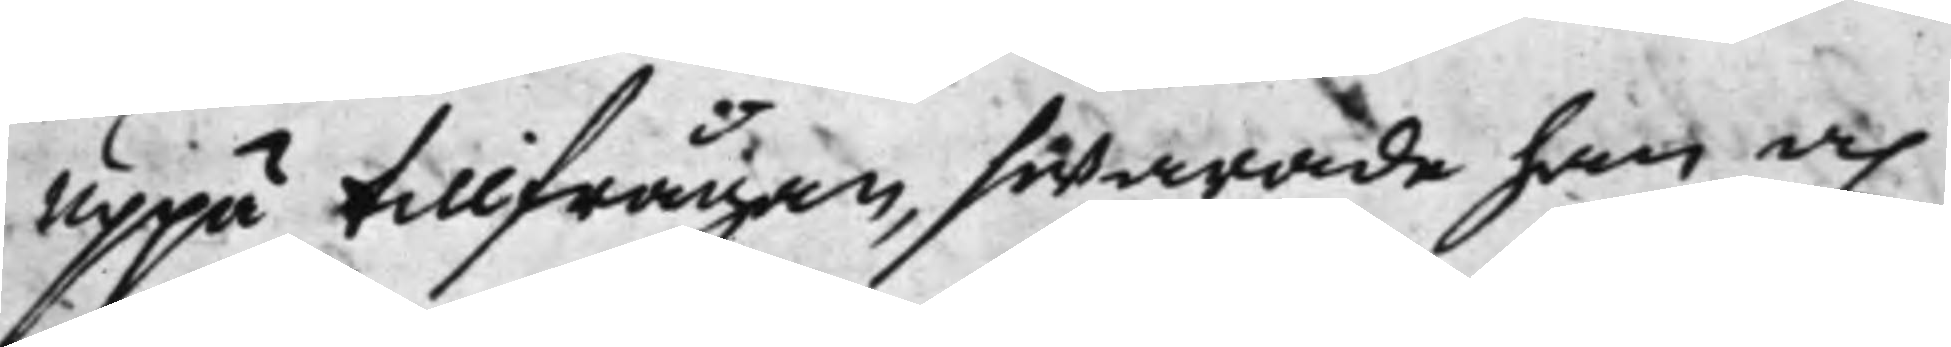Uppå tillfrågan, swarade han och
